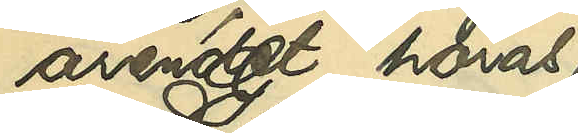ärendet höras
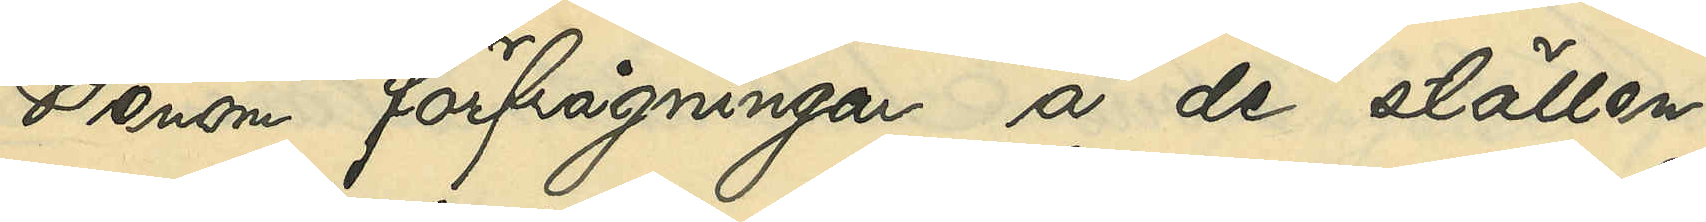Genom förfrågningar å de ställen,
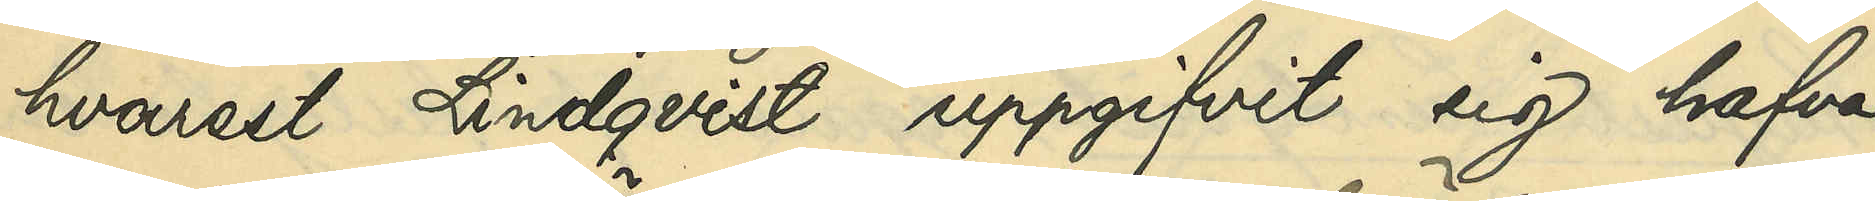hvarest Lindqvist uppgifvit sig hafva
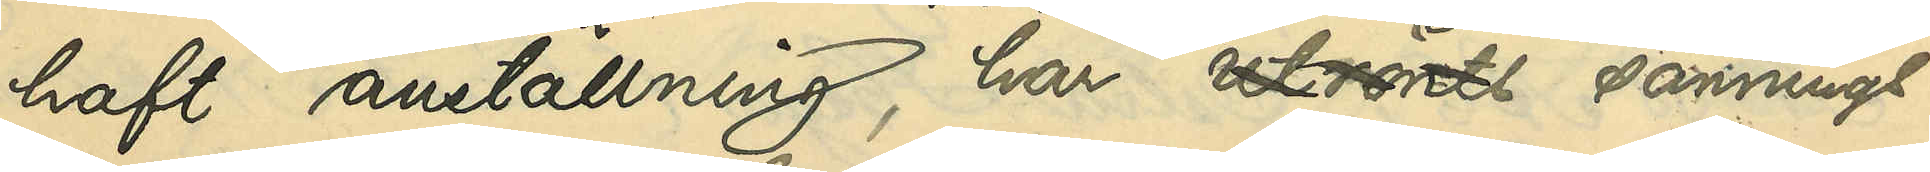haft anställning, har utrönts sannings¬
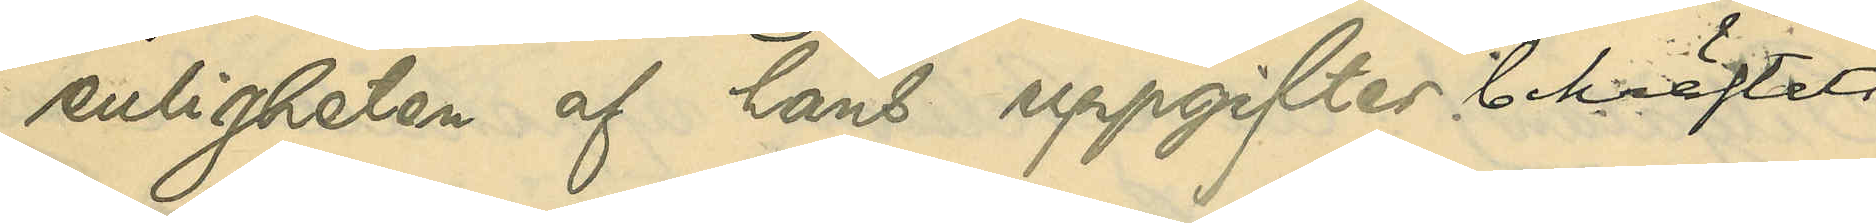enligheten af hans uppgifter bekräftats.
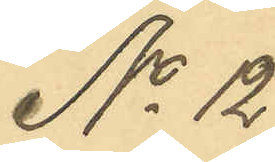No 12
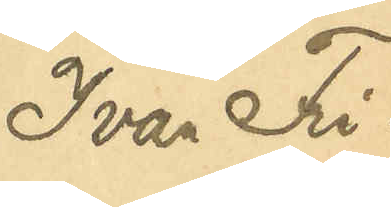Ivan Fri¬
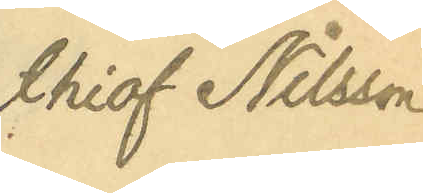thiof Nilsson.
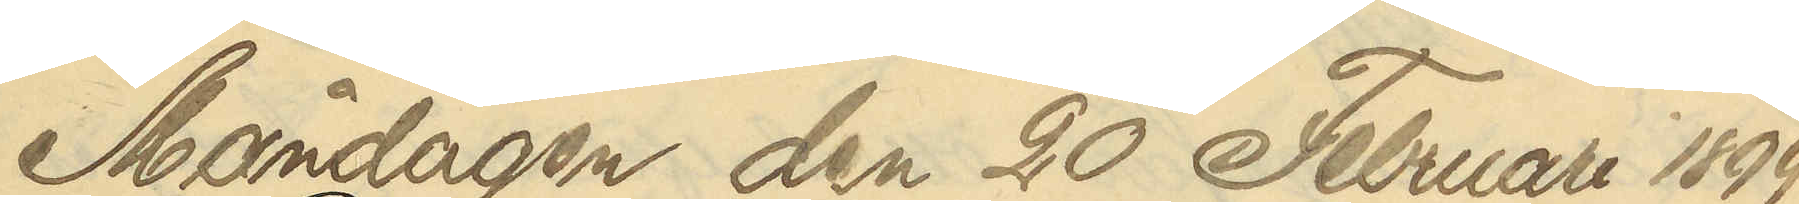Måndagen den 20 Februari 1899
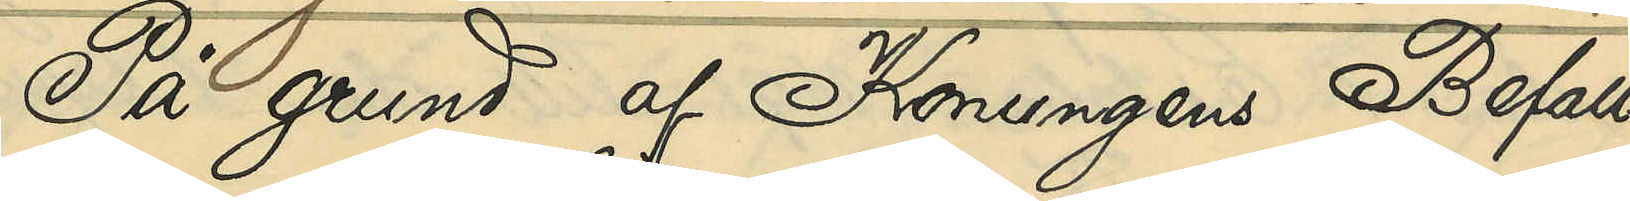På grund af Konungens Befall¬
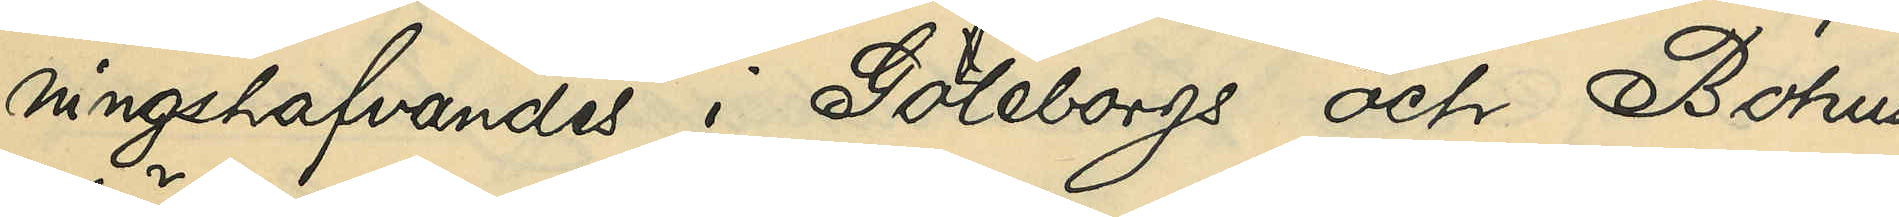ningshafvandes i Göteborgs och Bohus
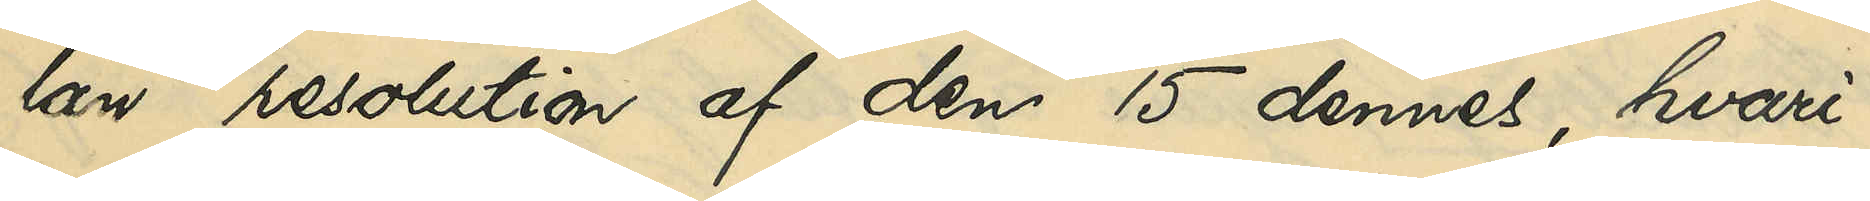län resolution af den 15 dennes, hvari¬
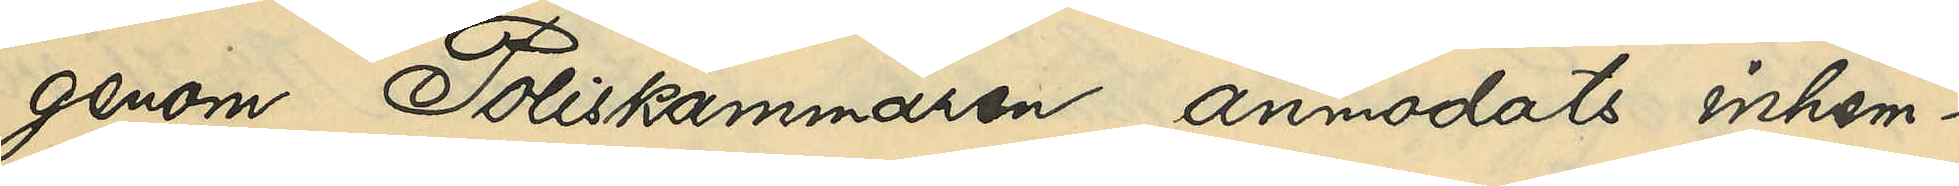genom Poliskammaren anmodats inhem¬
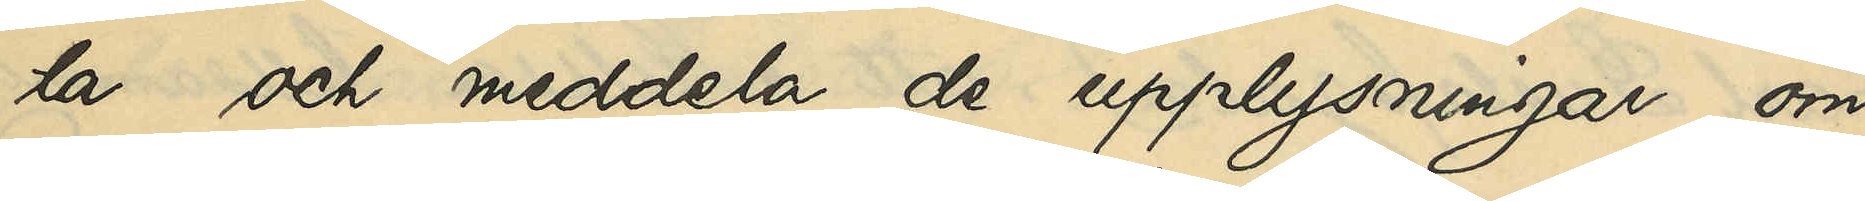ta och meddela de upplysningar om
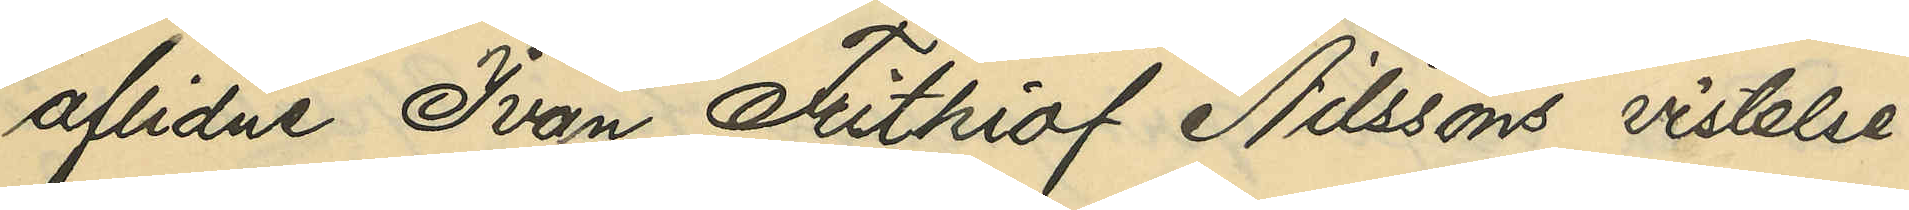aflidne Ivan Frihiof Nilssons vistelse¬
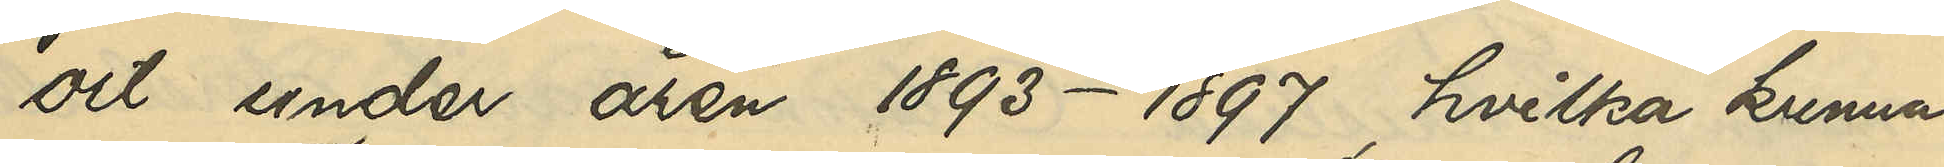ort under åren 1893-1897, hvilka kunna
